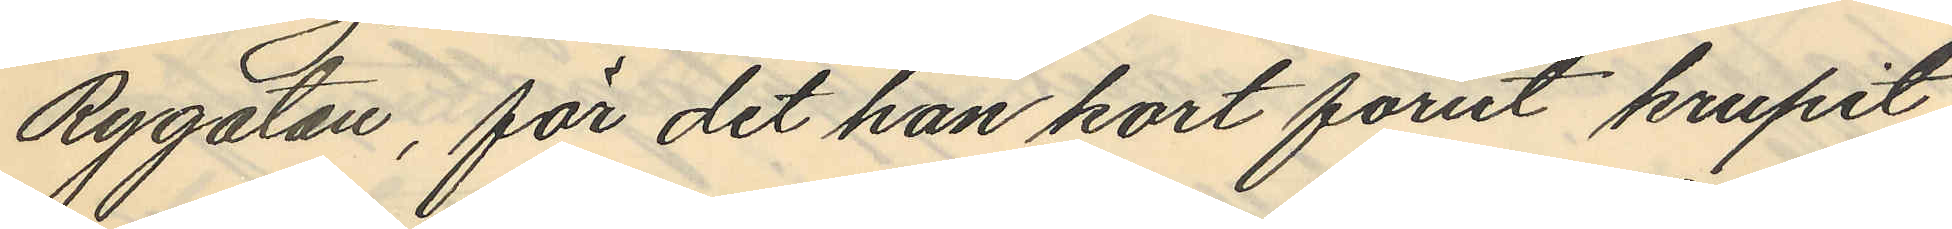Rygatan, för det han kort förut krupit
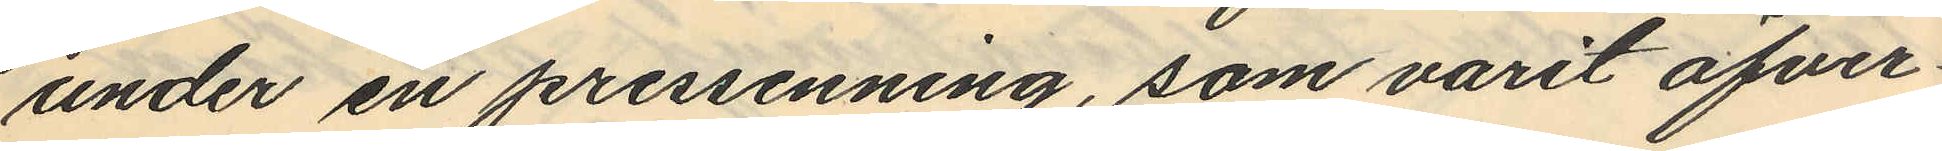under en pressenning, som varit öfver¬
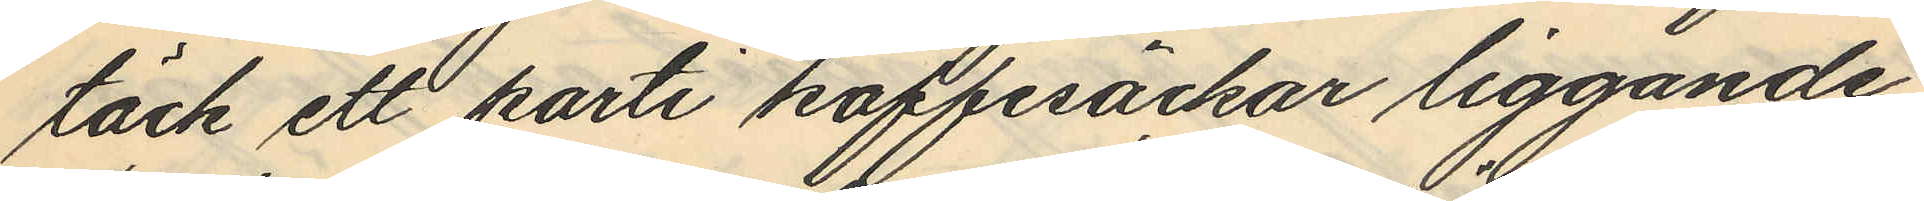täck ett parti kaffesäckar liggande
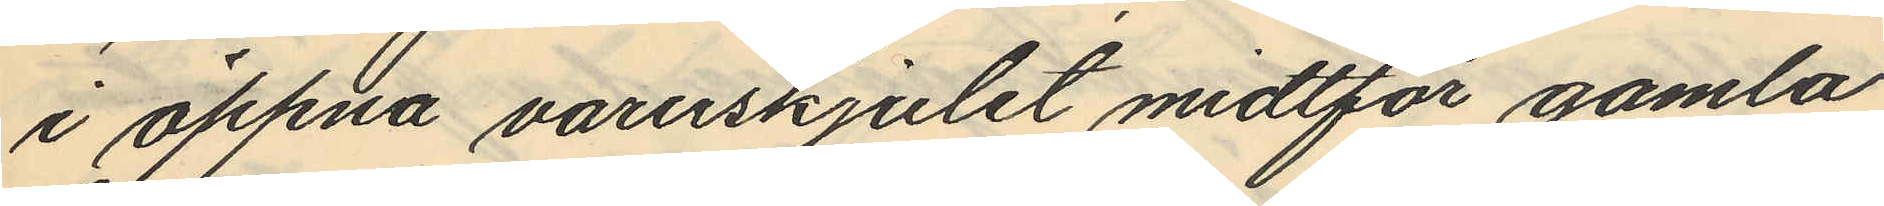i öppna varuskjulet midtför gamla
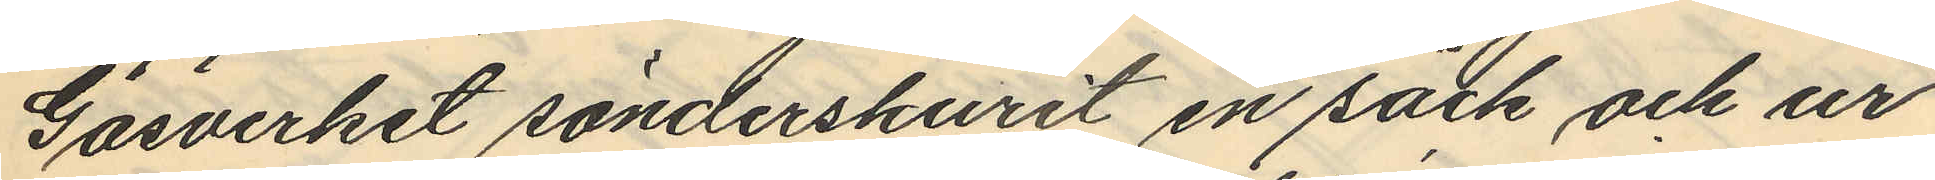Gasverket sönderskurit en säck och ur
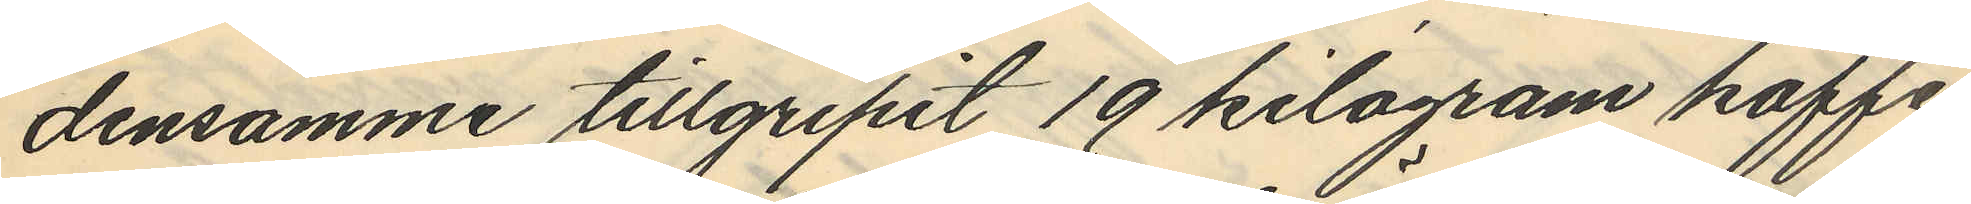densamme tillgripit 19 kilogram kaffe
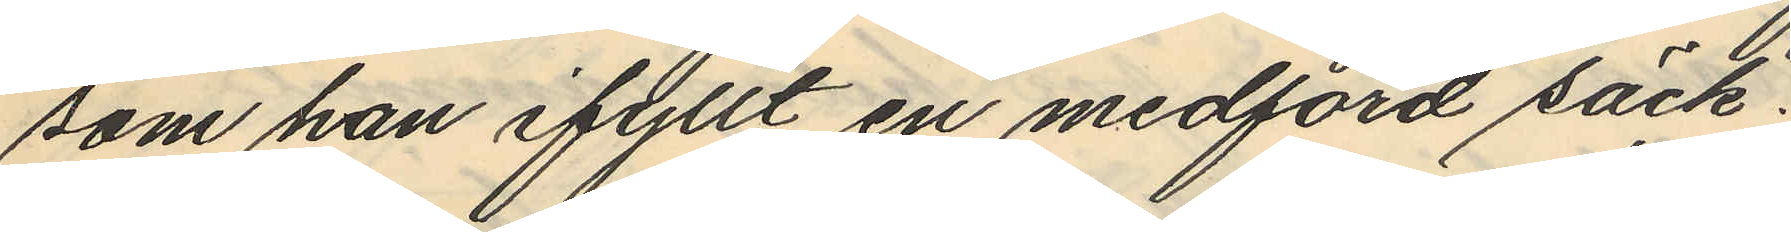som han ifyllt en medförd säck,
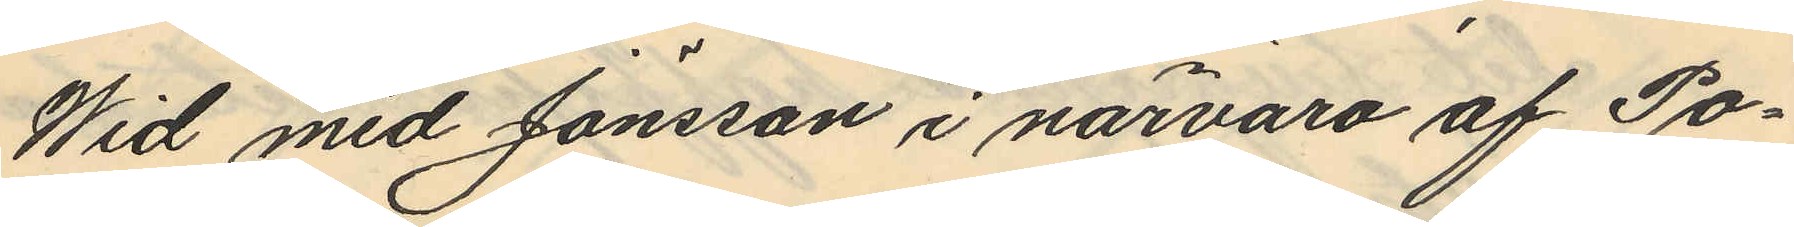Wid med Jönsson i närvaro af Po¬
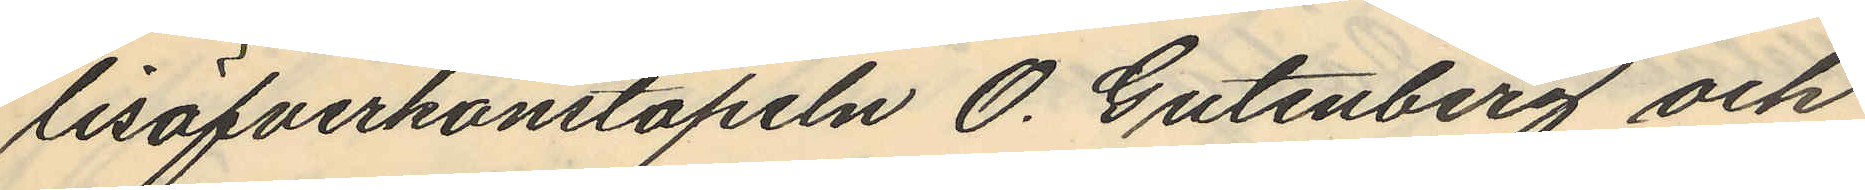lisöfverkonstapeln O. Gutenberg och
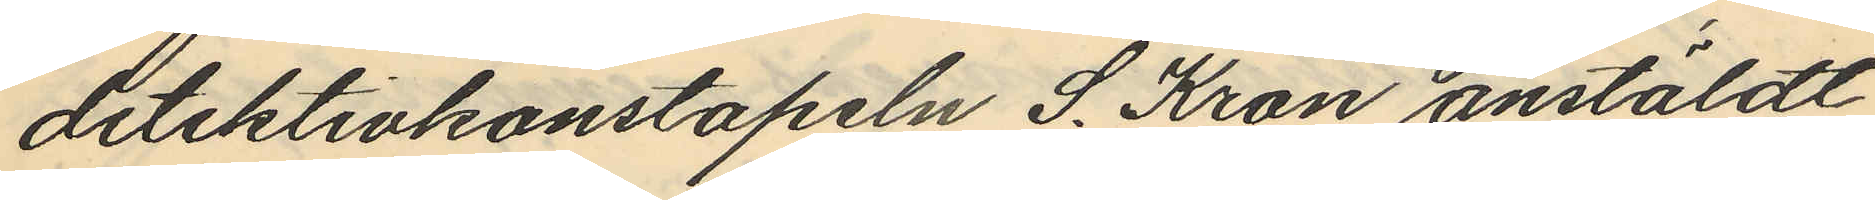detektivkonstapeln S. Kron anstäldt
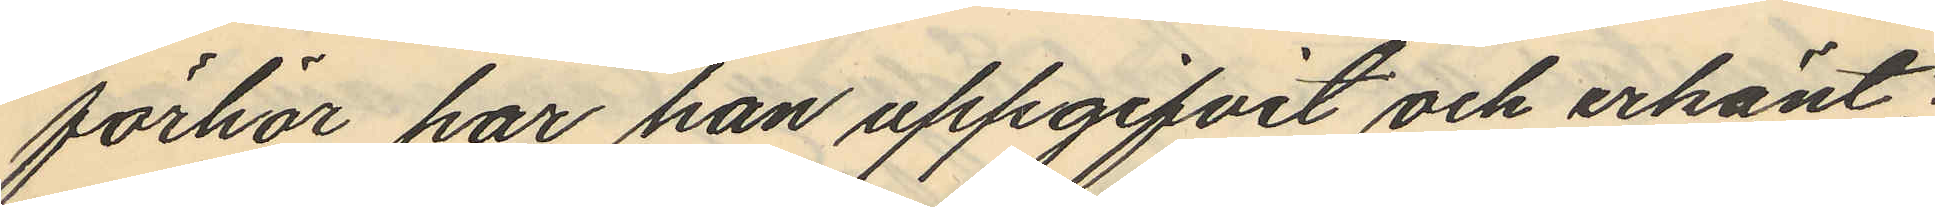förhör har han uppgifvit och erkänt;
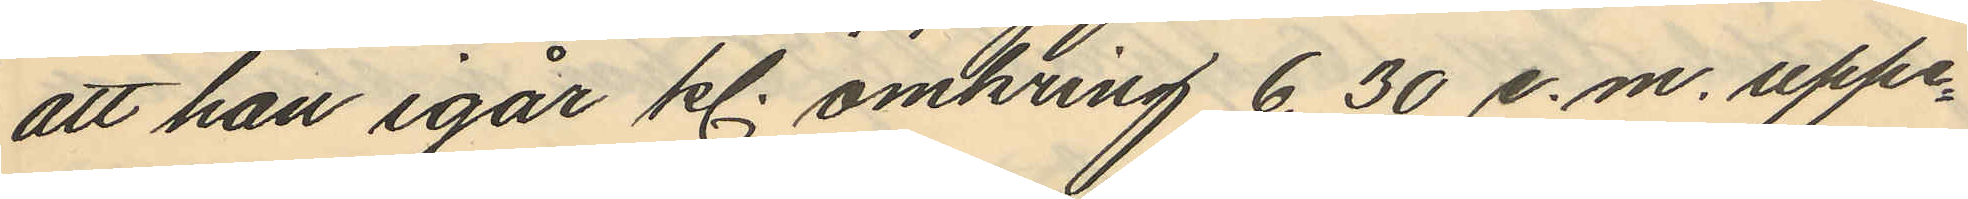att han igår kl. omkring 6,30 e.m. uppe¬
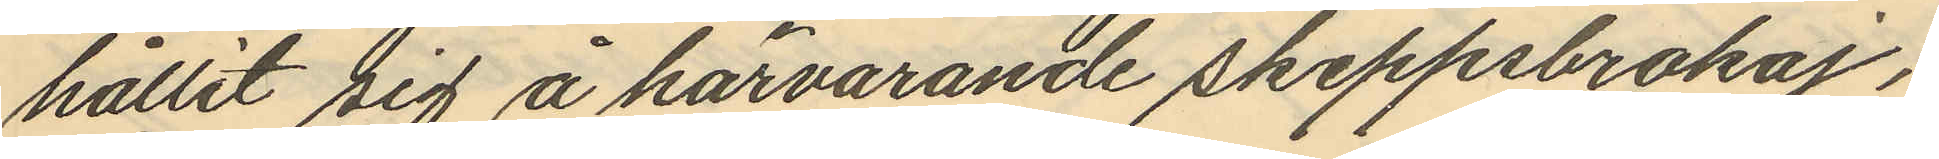hållit sig å härvarande skeppsbrokaj;
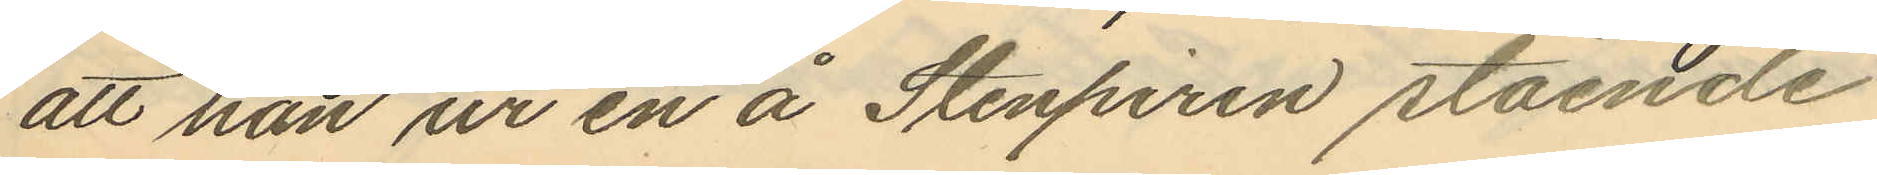att han ur en å Stenpiren stående
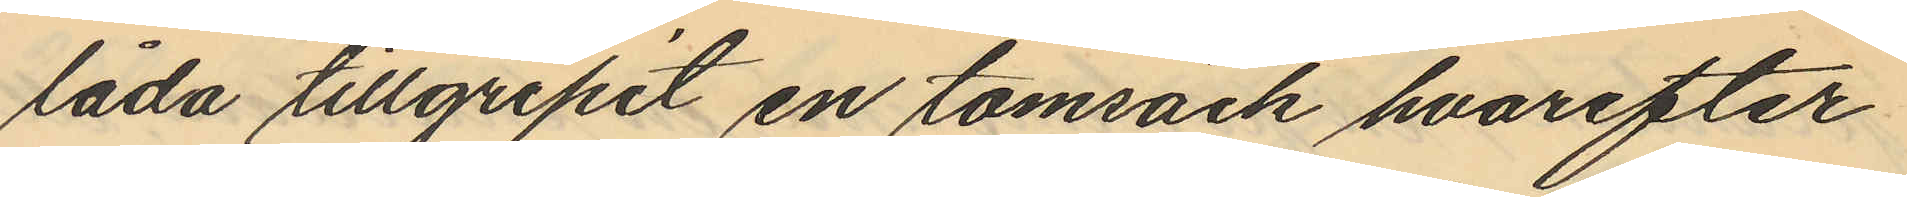låda tillgripit en tomsäck hvarefter
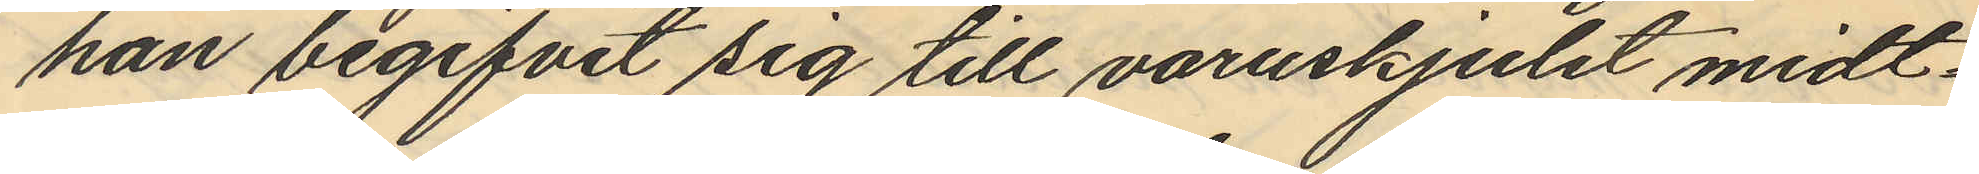han begifvit sig till varuskjulet midt¬
